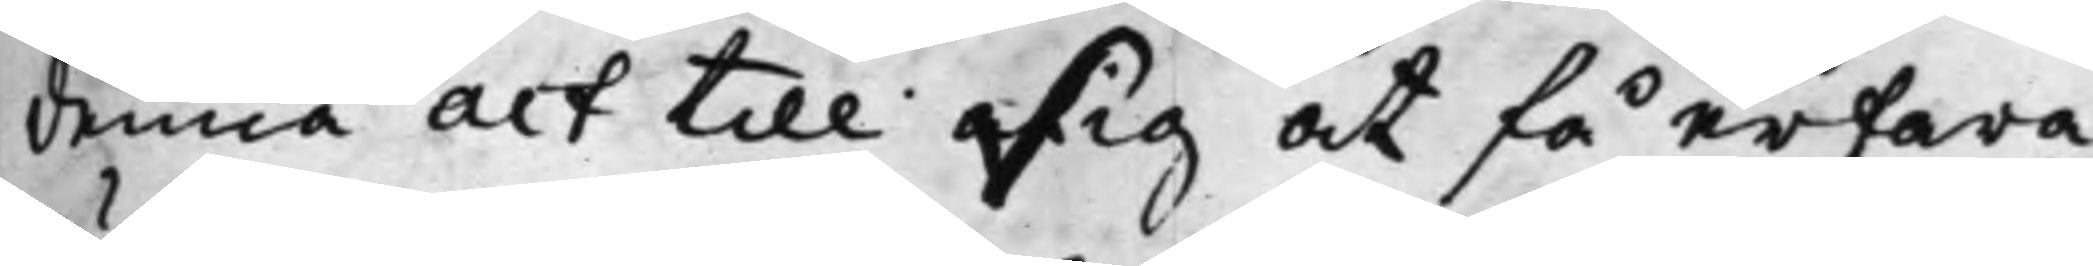denna act till sig at få erfara
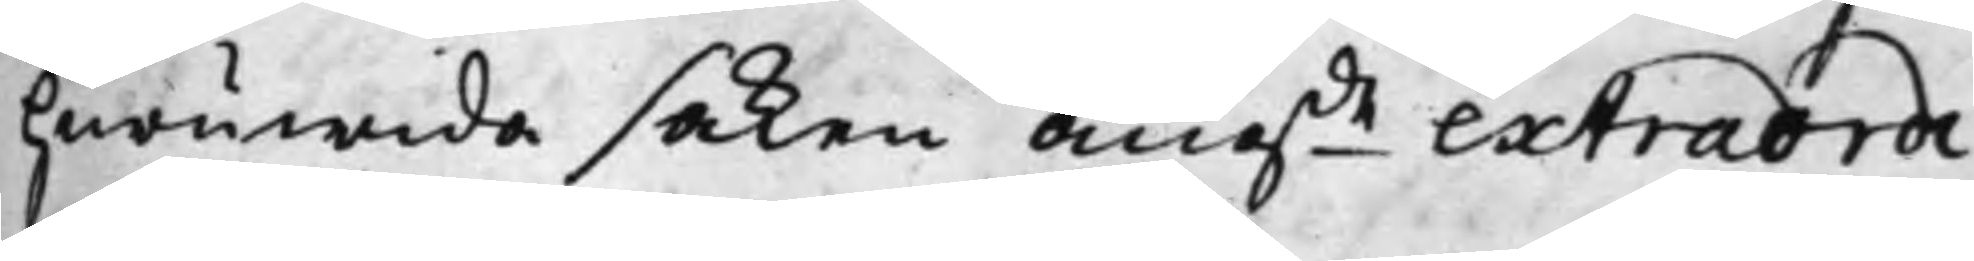huruwida saken, angde extraordi¬
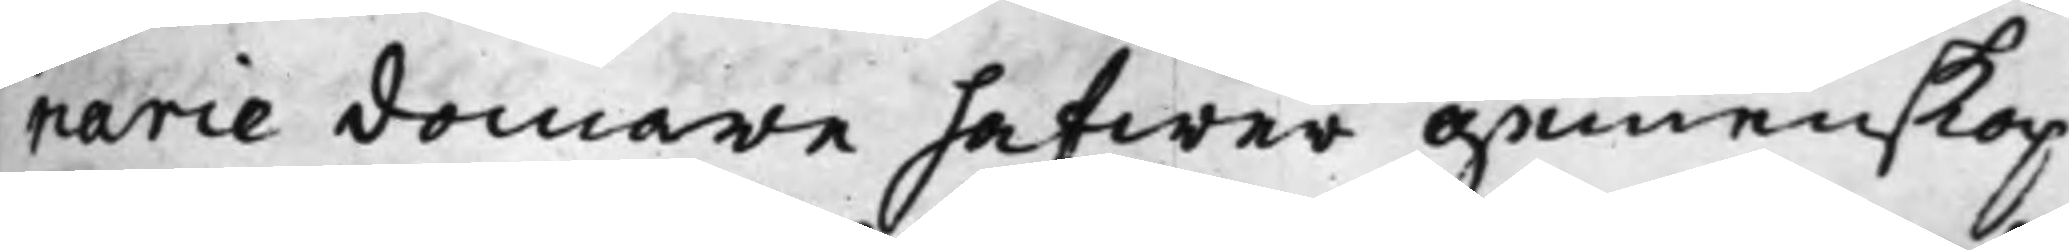narie domare hafwer gemenskap
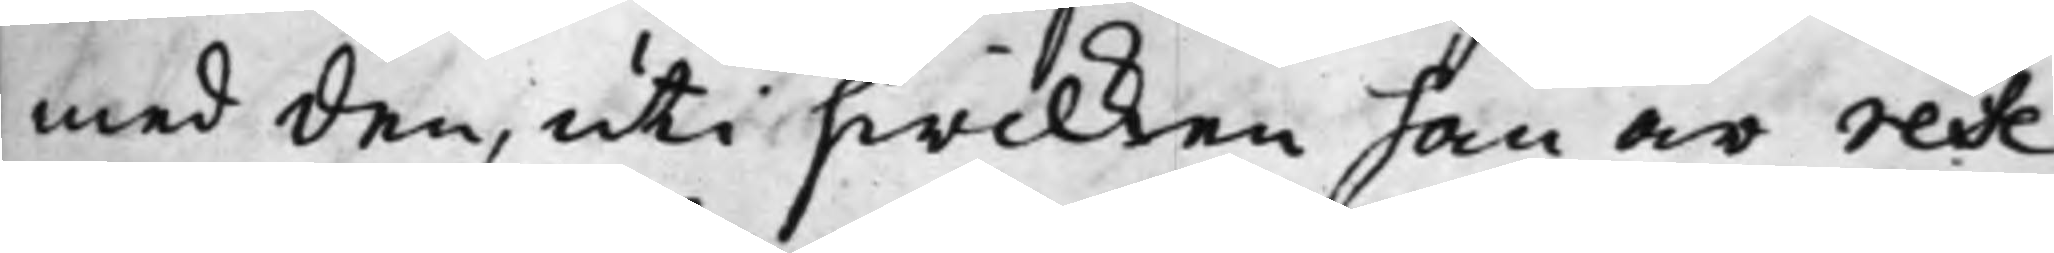med den, uti hwilken han är refe¬
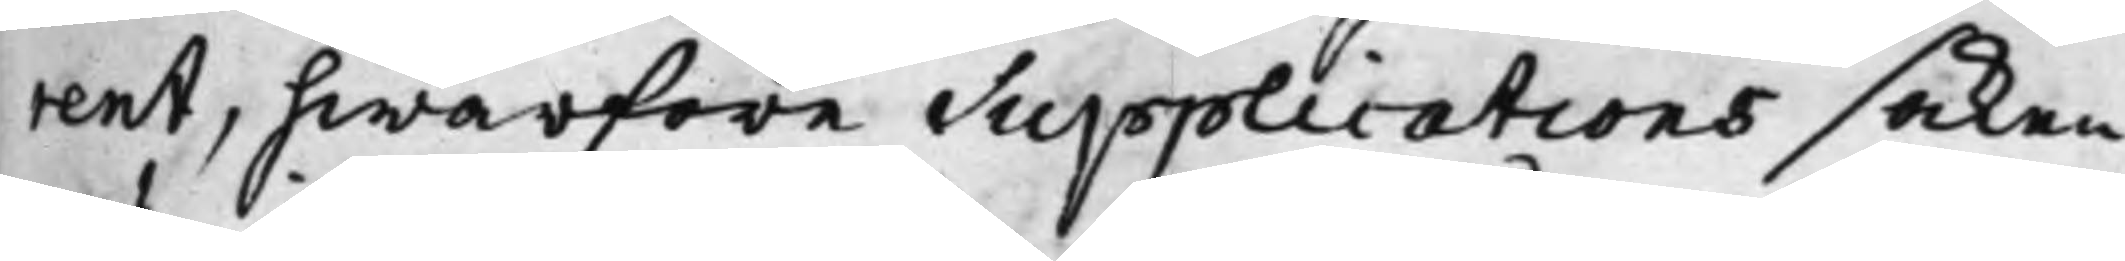rent, hwarfore Supplications saken
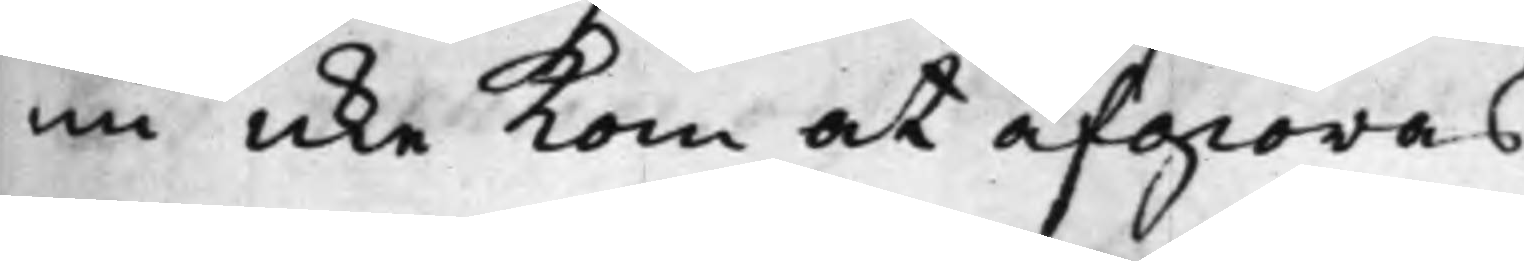nu icke kom at afgiöras.
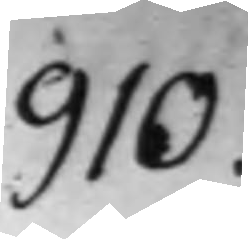910.
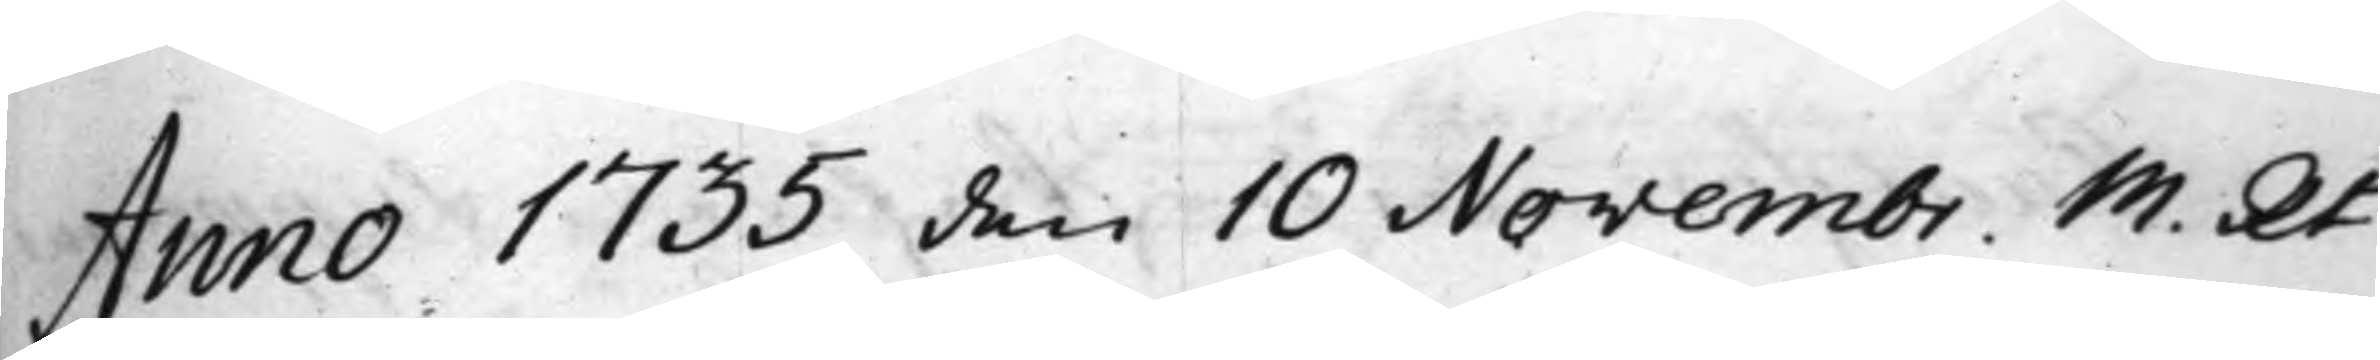Anno 1735 den 10 Novembr. M. Rt
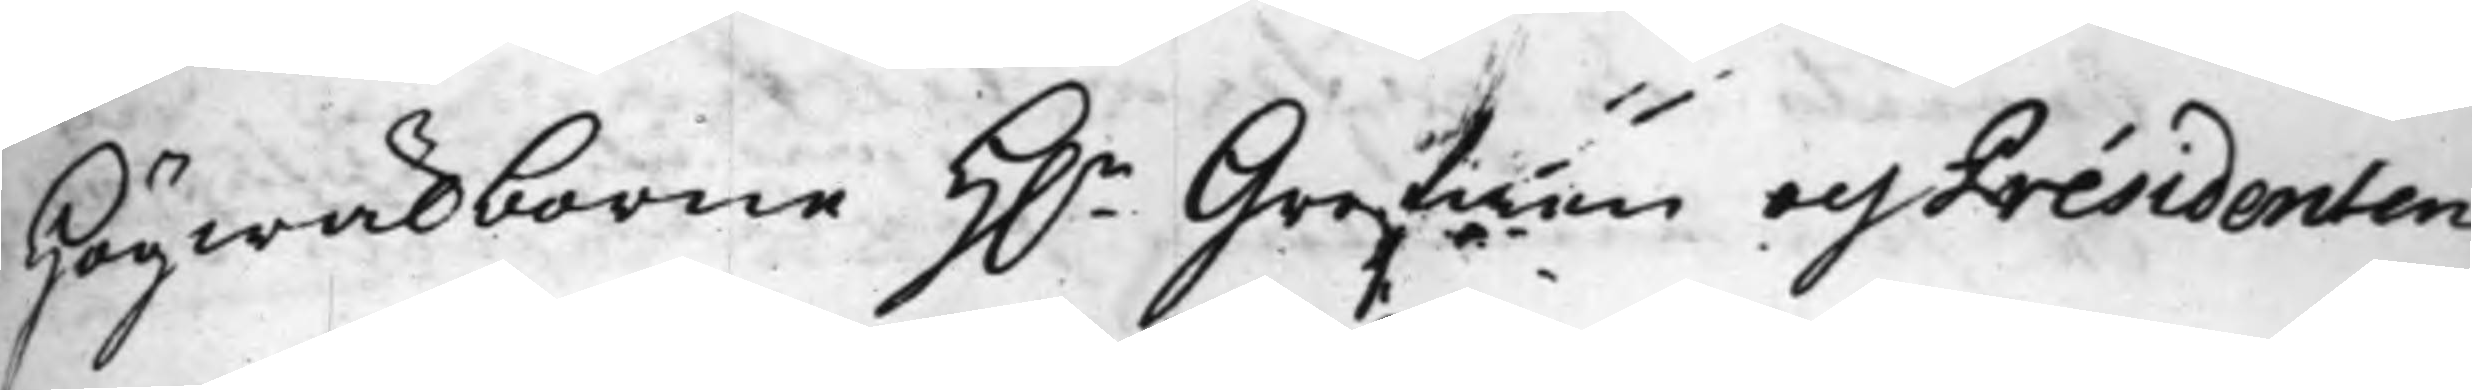Högwälborne H.r Grefwen och Presidenten
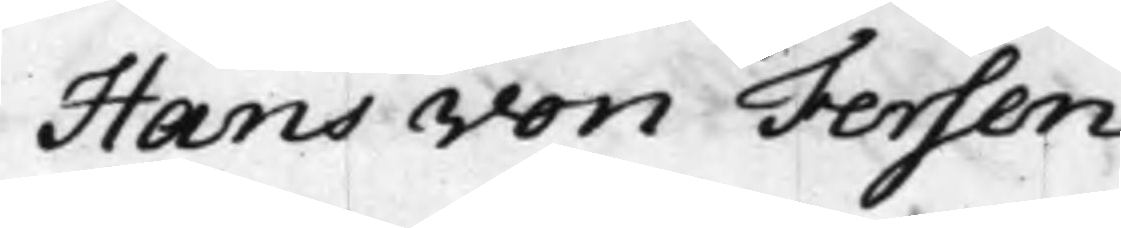Hans von Fersen
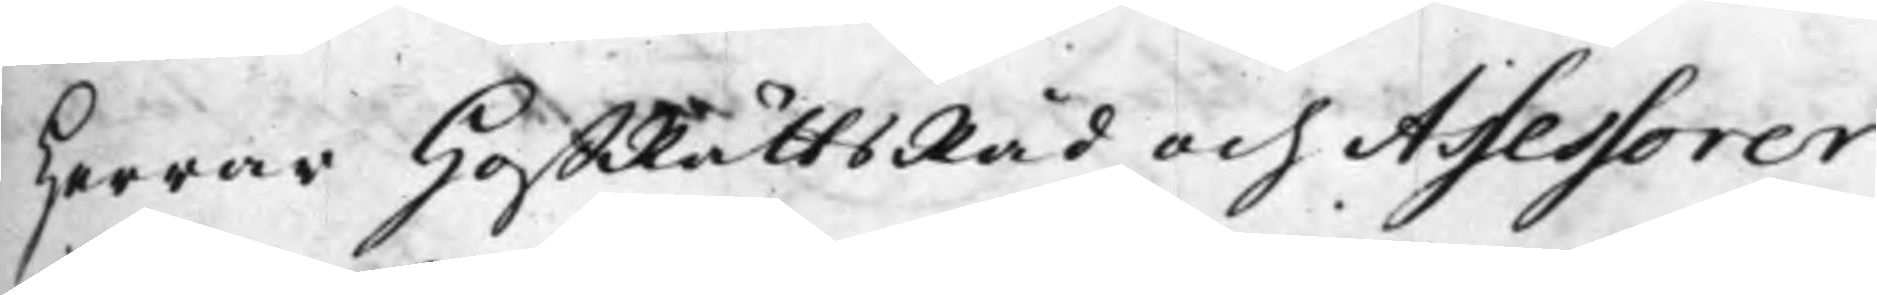Herrar HoffRättsRåd och Assessorer
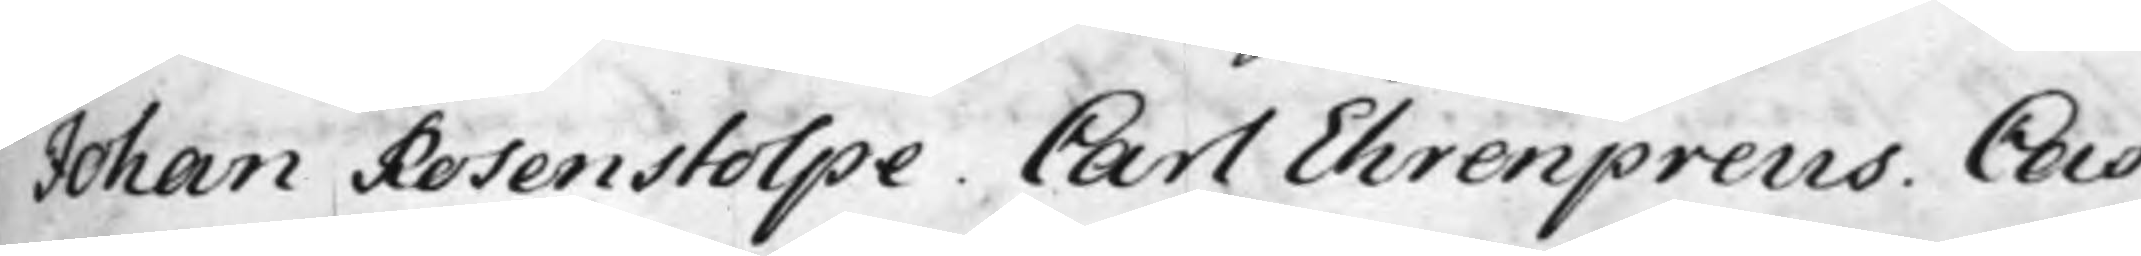Johan Rosenstolpe. Carl Ehrenpreus. Cas¬
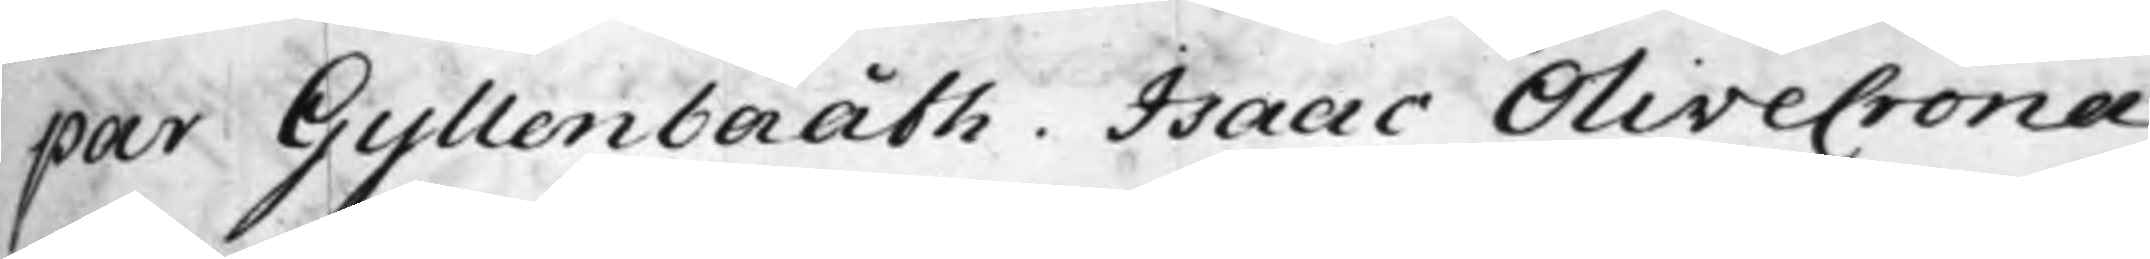par Gyllenbååth. Isaac Olivecrona
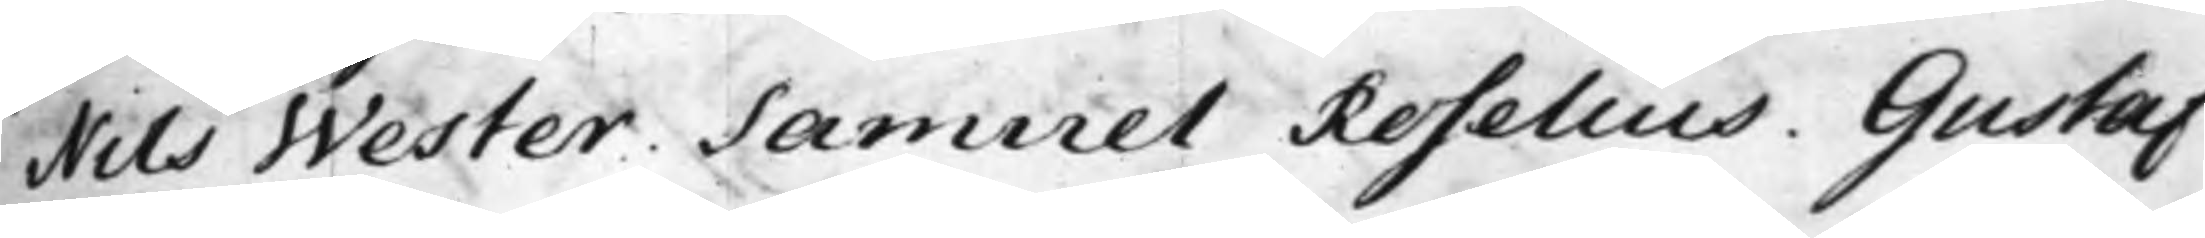Nils Wester. Samuel Roselius. Gustaf
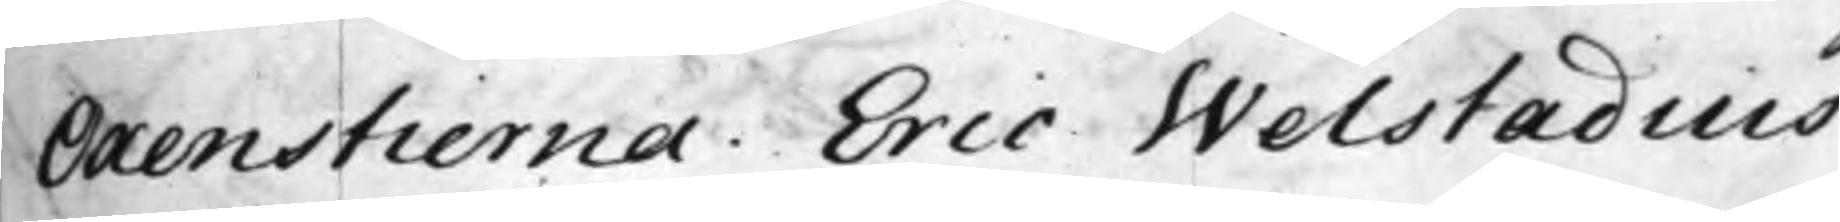Oxenstierna. Eric Welstadius.
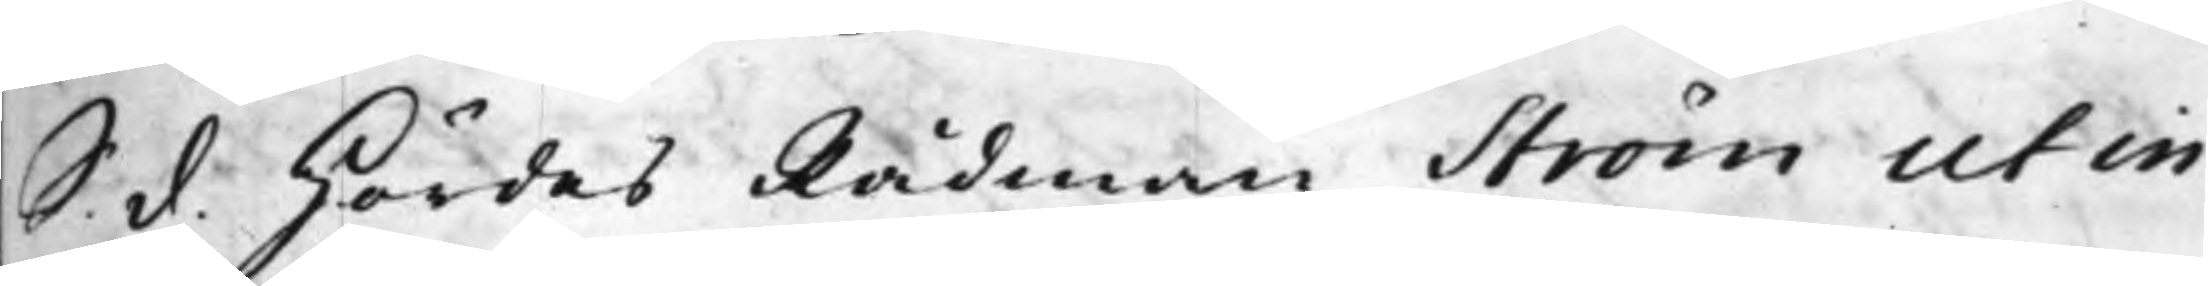S. d. Hördes Rådman Ström ut in
